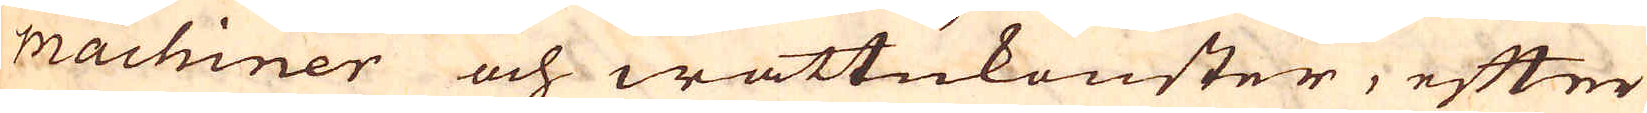machiner och wattukonster, efter
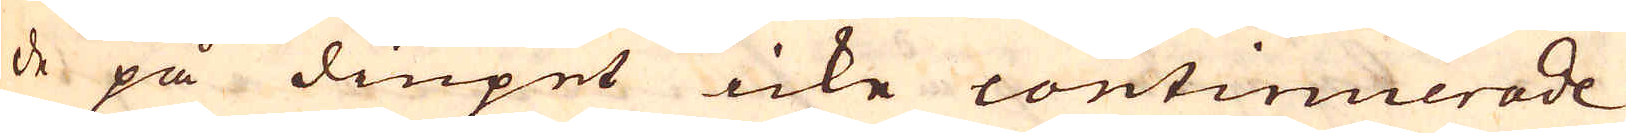de på diupet icke continuerade
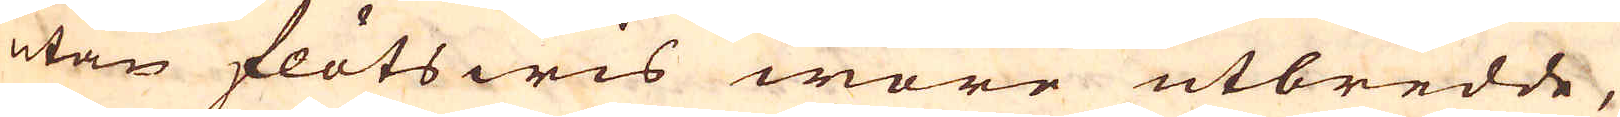utan flötswis wore utbredde,
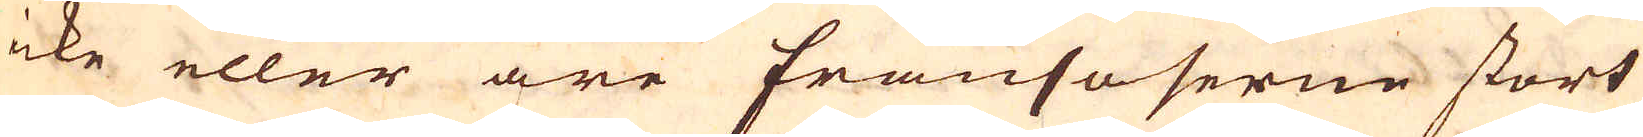icke eller äre Frånsoserne stort
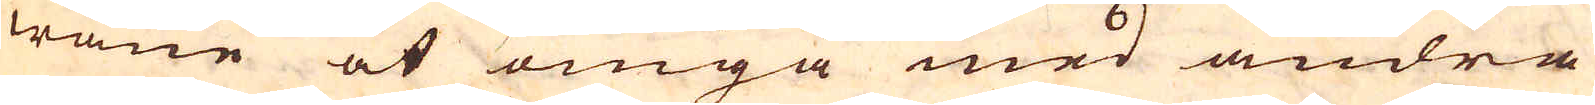wane at omgå med andra
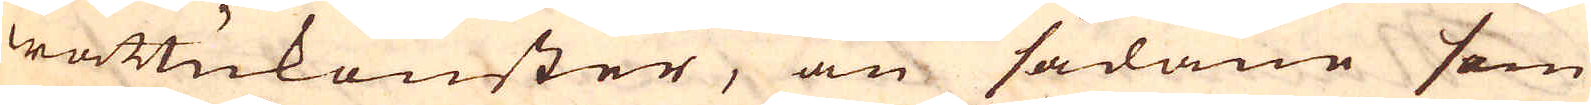wattukonster, än sådane som
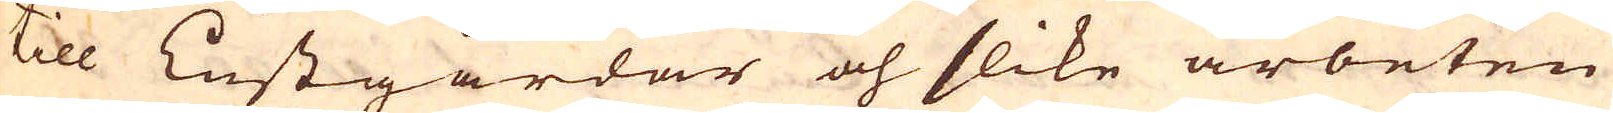till Lustgårdar och slike arbeten
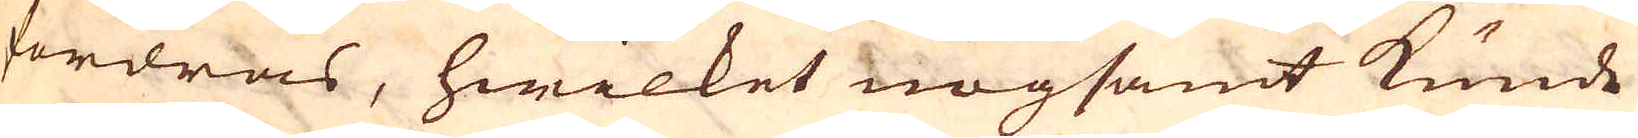fordras, hwilket nogsamt kunde
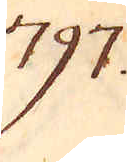797.
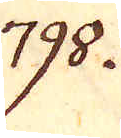798.
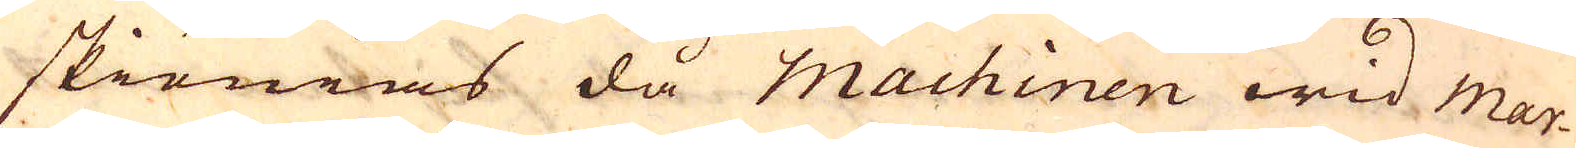skiönias då Machinen wid Mar-
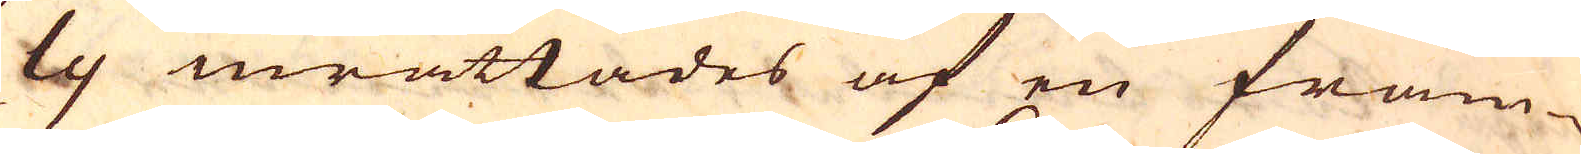ly inrättades af en främ-
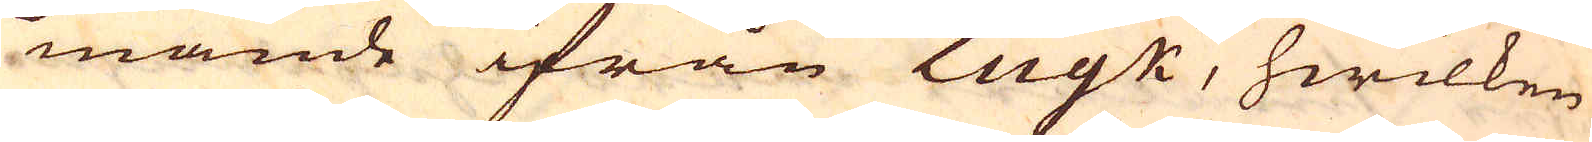mande ifrån Luyk, hwilken
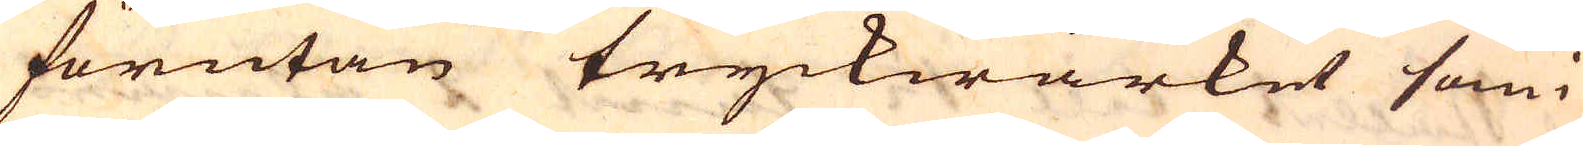förutan tryckwärket som
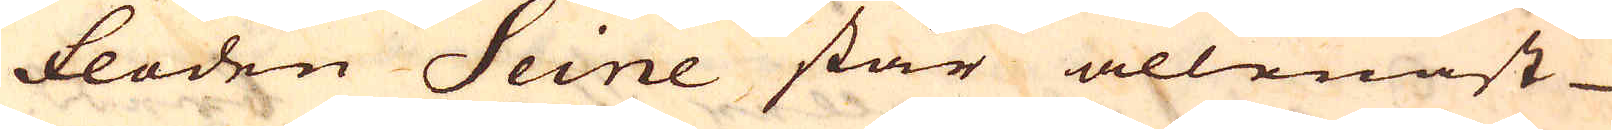floden Seine står allenast
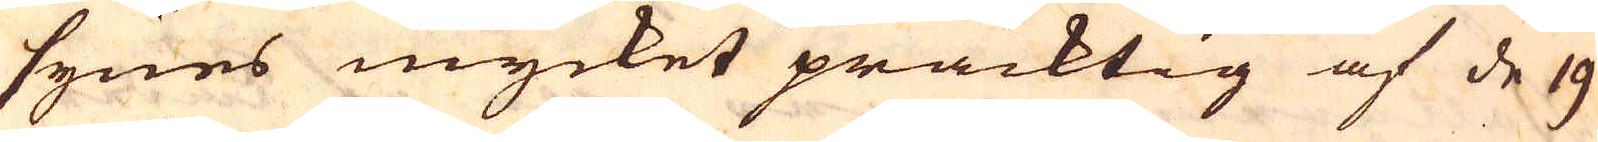synes mycket präcktig af de 19
